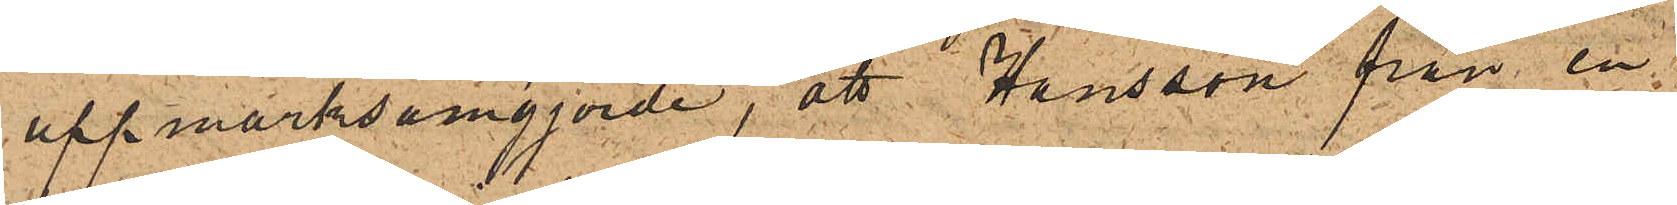uppmärksamgjorde, att Hansson från en
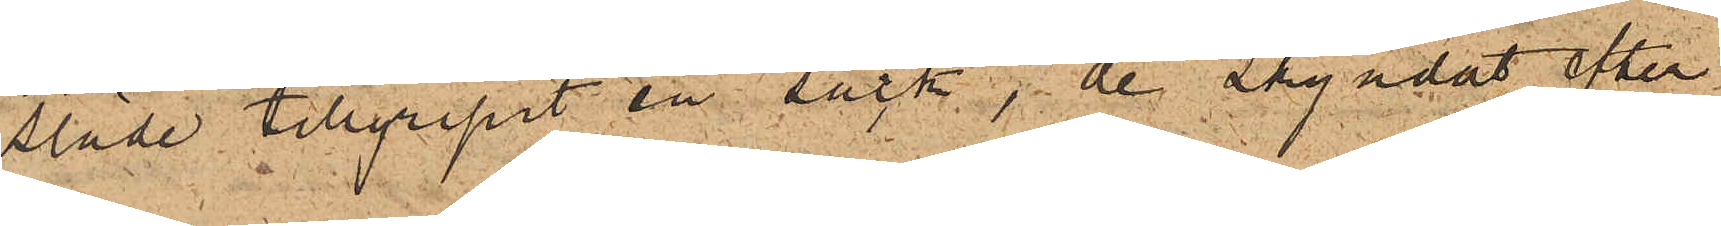släde tillgripit en säck, de skyndat efter¬
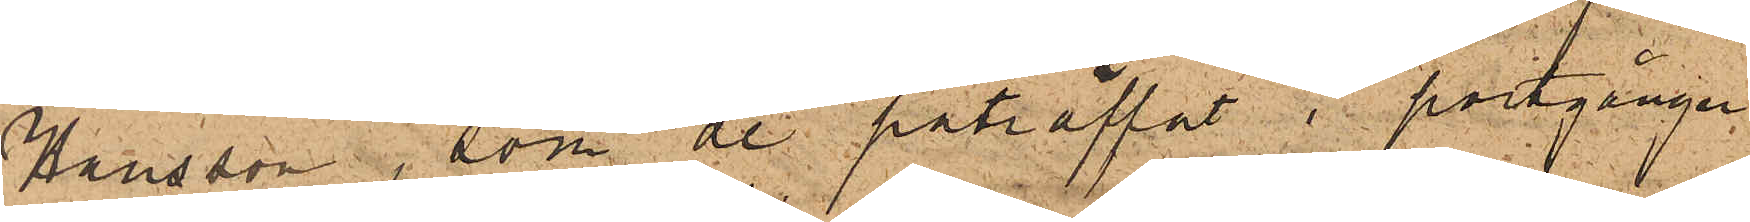Hansson, som de påträffat i portgången
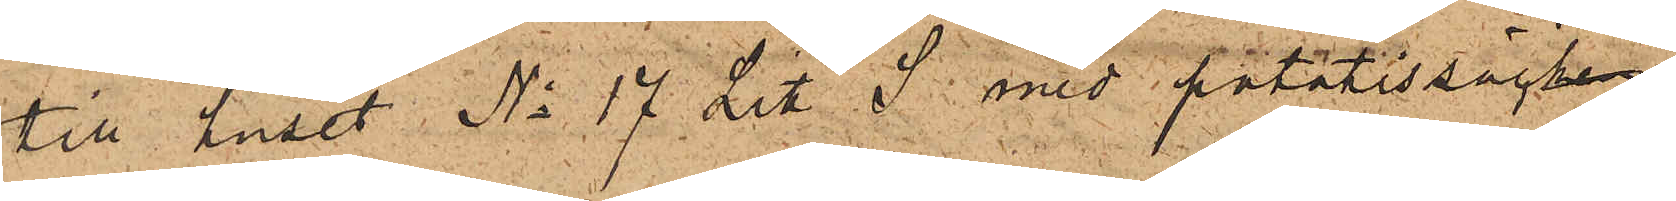till huset No 17 Litt S med potatissäcken
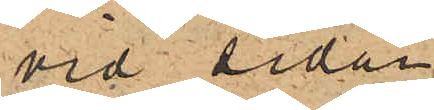vid sidan
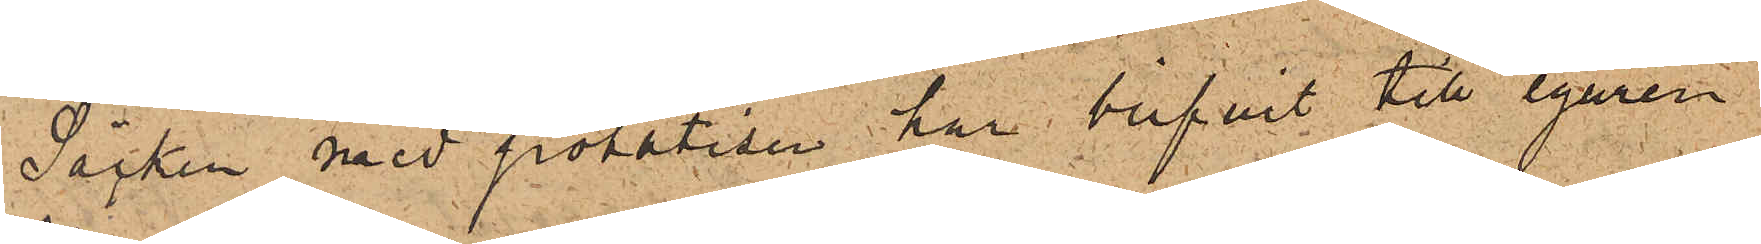Säcken med potatisen har blifvit till egaren
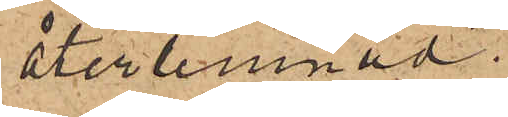återlemnad.
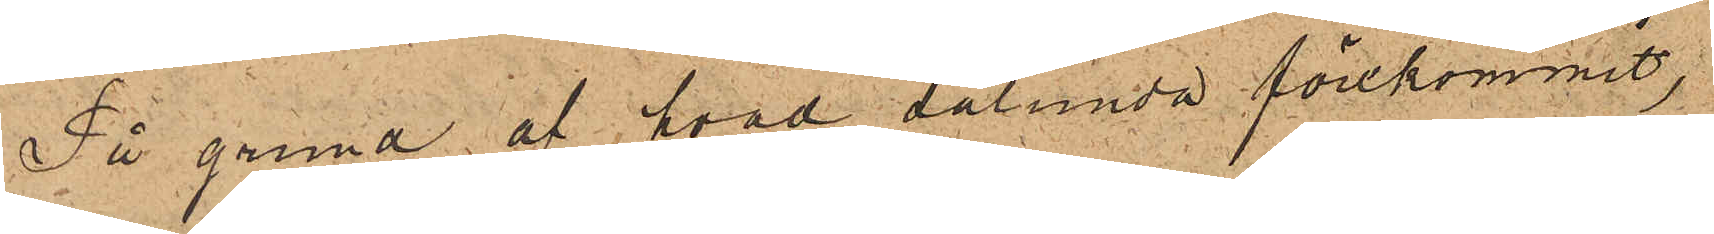På grund af hvad sålunda förekommit,
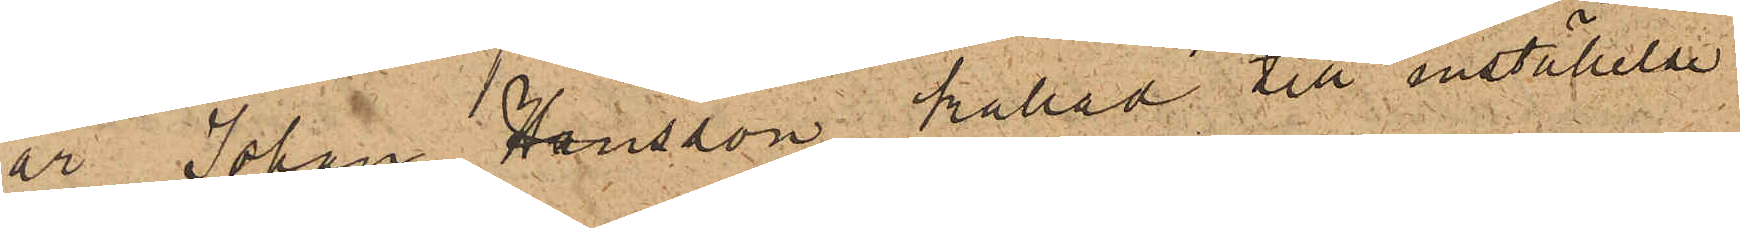är Johan Hansson kallad till inställelse
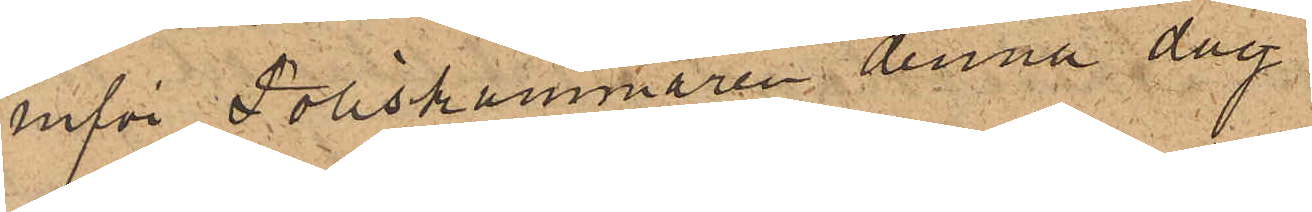inför Poliskammaren denna dag
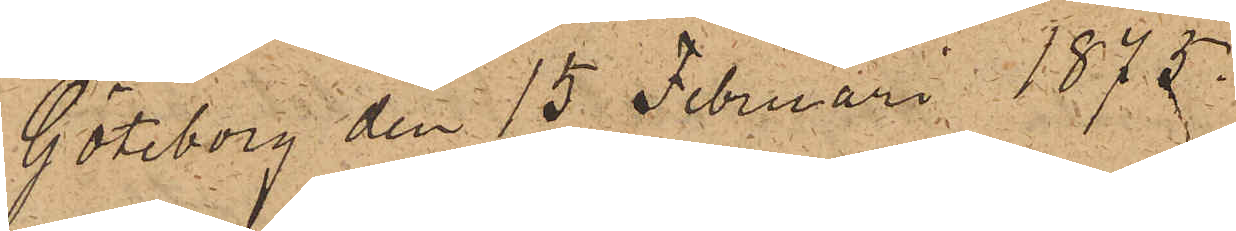Göteborg den 15 Februari 1875.
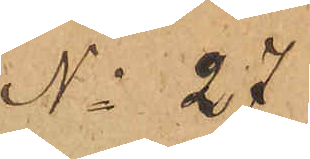No 27
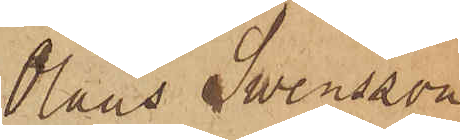Olaus Swensson
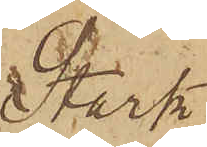Stark
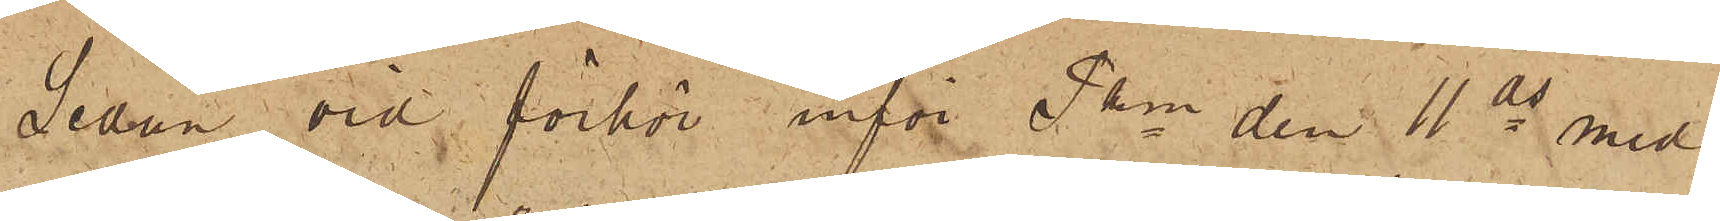Sedan vid förhör inför Pkn den 11 ds med
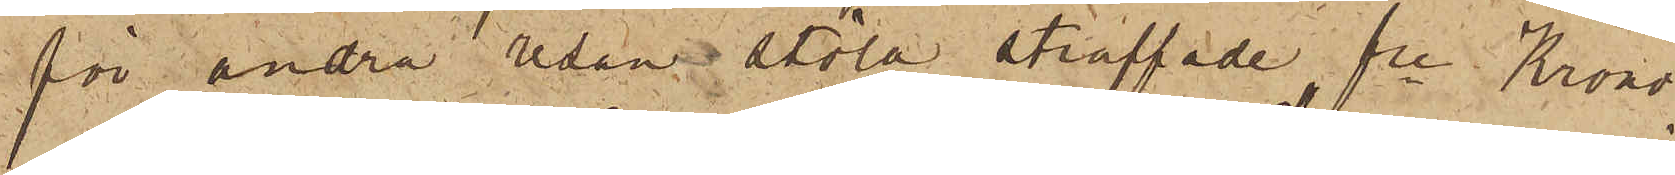för andra sedan stöld straffade fre Krono¬
